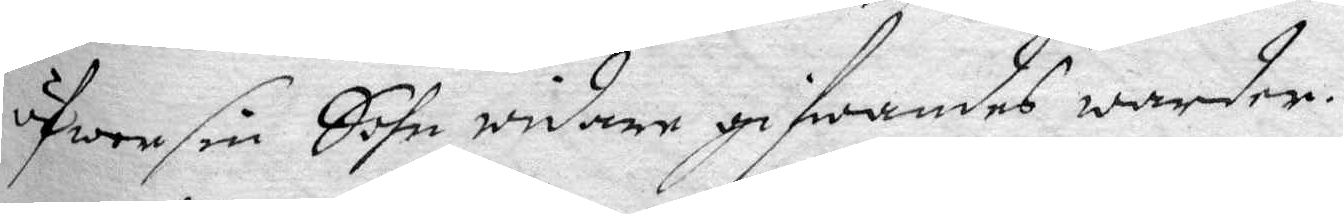öfwer sin Sohn widare gifwandes warder.
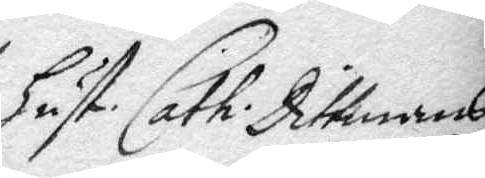Hust: Cath. Dittmans
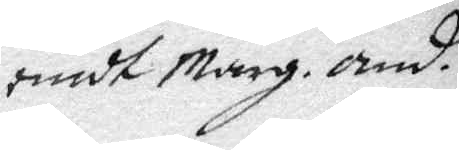emot Marg. and.
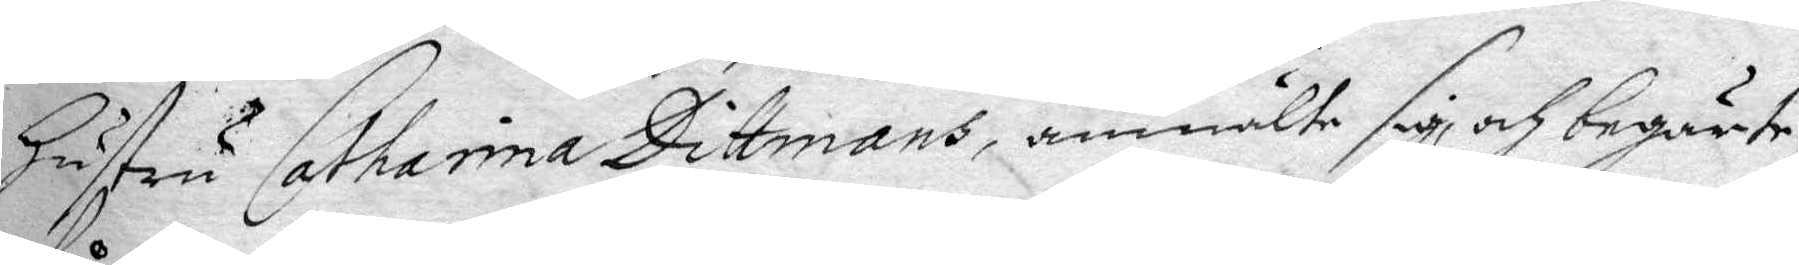Hustru Catharina Dittmans, anmälte sig och begiärte
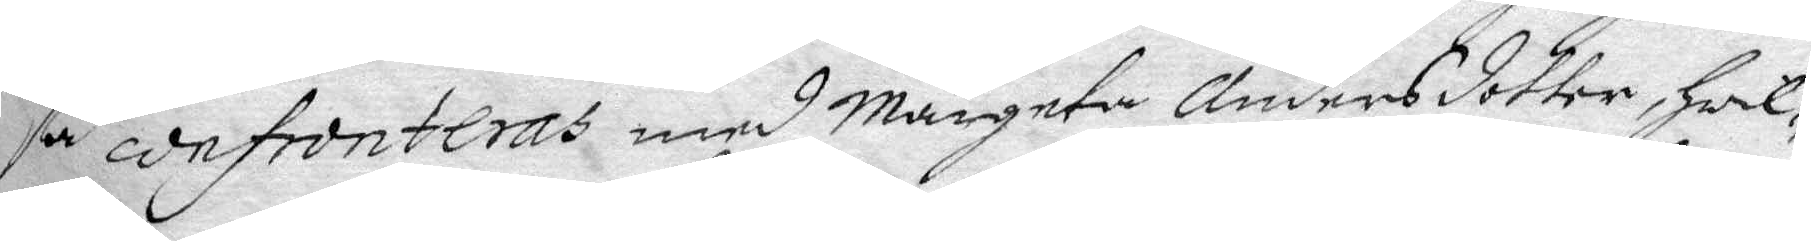få confronteras med Margeta Andersdotter, Hwil¬
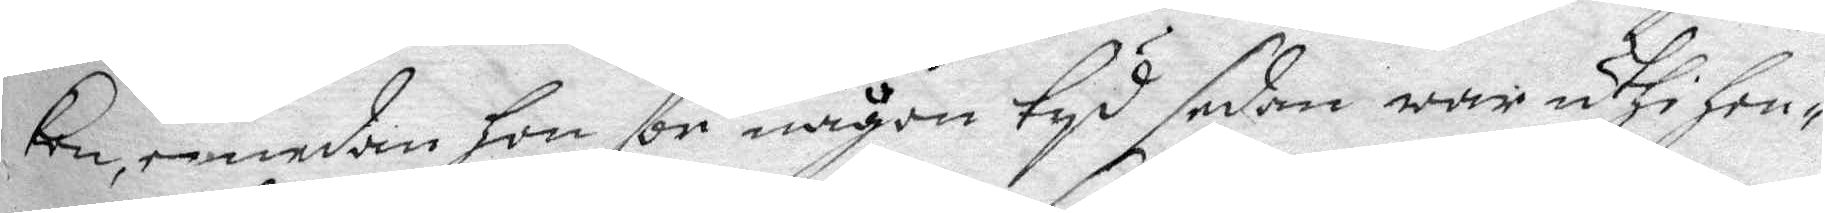ken, emedan hon för någon tyd sedan war uthi hen¬
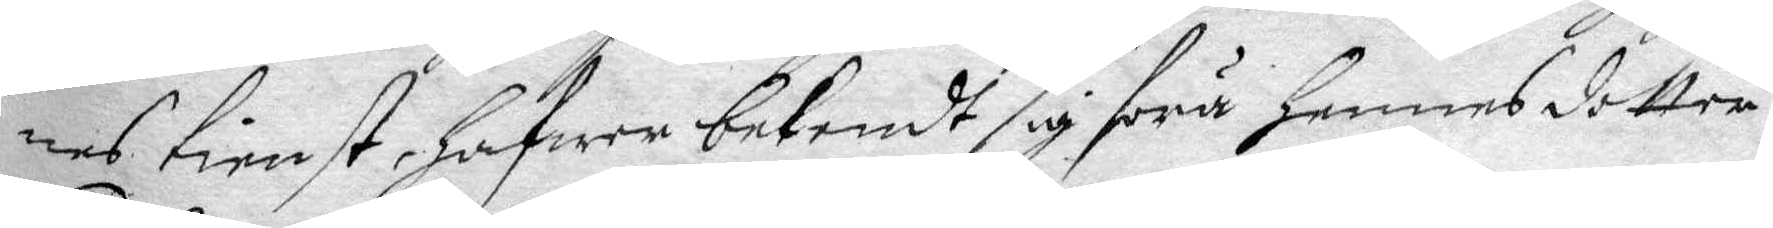nes tienst, hafwer bekendt sig föra hennes dotter
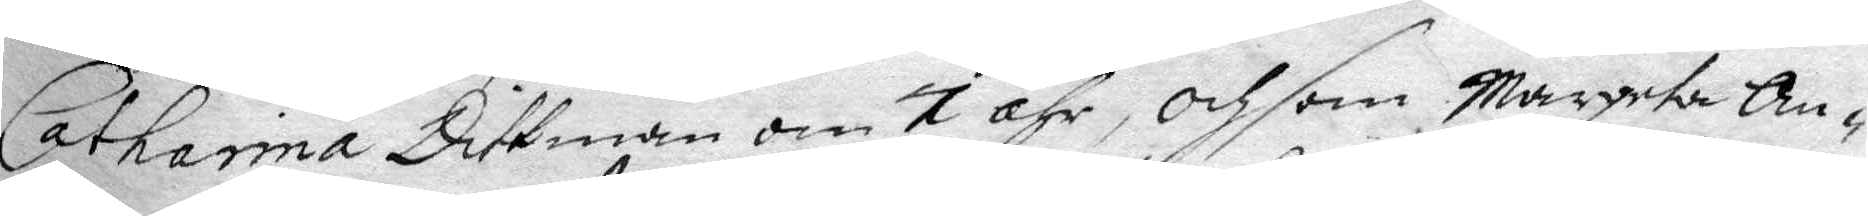Catharina Dittman om 7 åhr, och som Margeta An¬
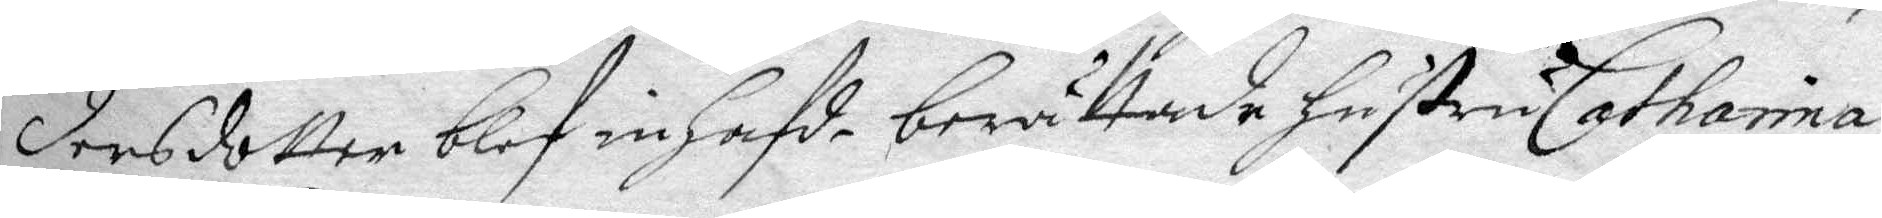dersdotter blef inhafde berättade hustru Catharina
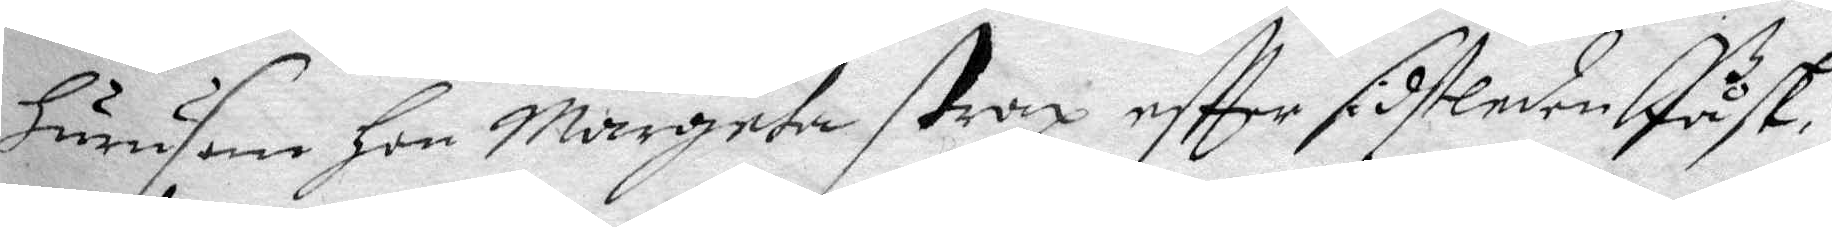hurusom Hon Margeta strax eftter sidstledne Påsk,
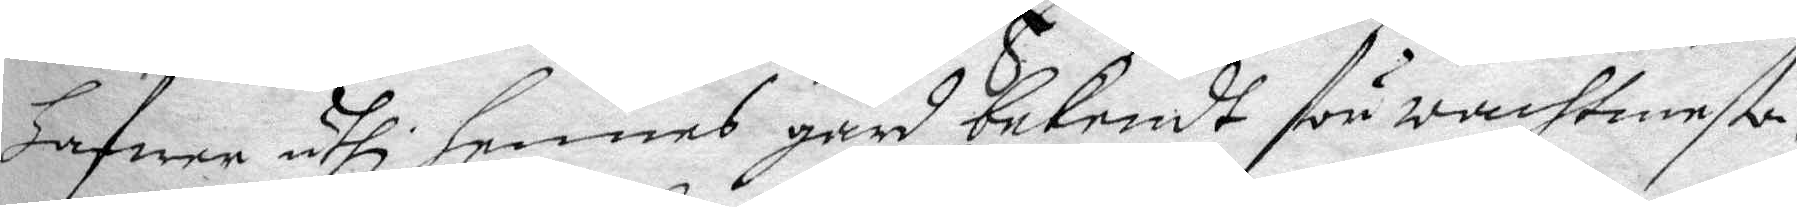hafwer uthi hennes gård bekendt för wachtmesta¬
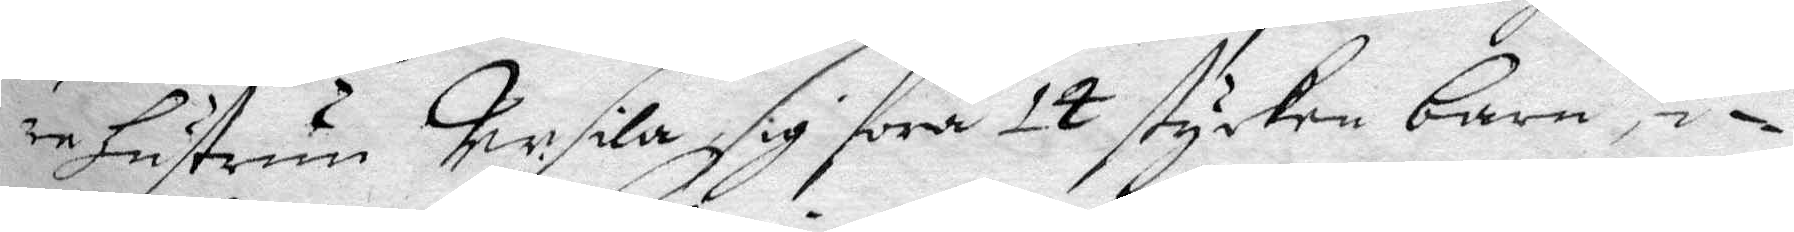re hustrun Persila sig föra 14 stycken barn, i¬
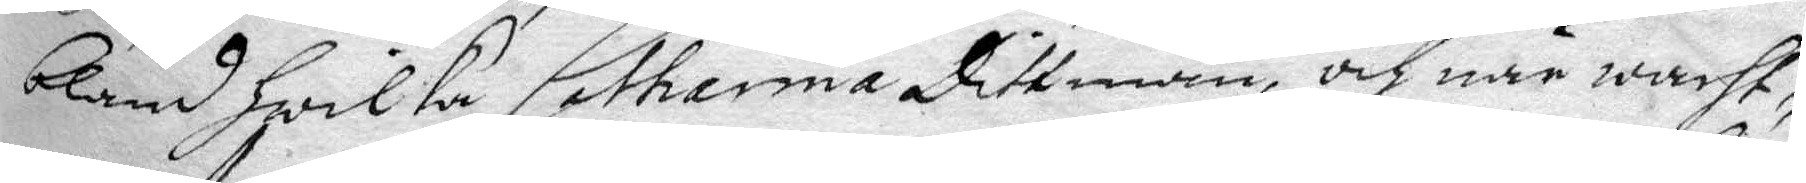bland hwilka Catharina Dittman, och när wacht¬
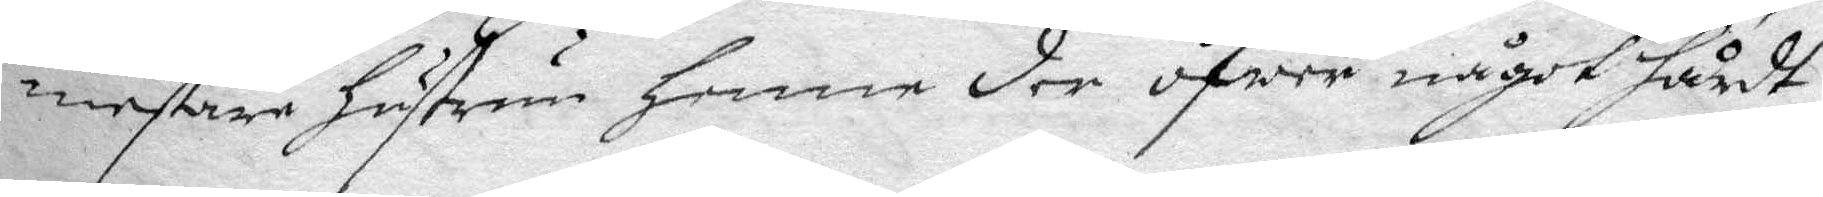mestare hustrun henne der öfwer något hårdt
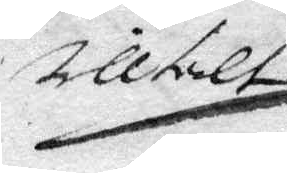tilltalt
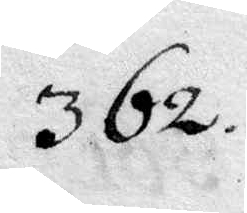362.
